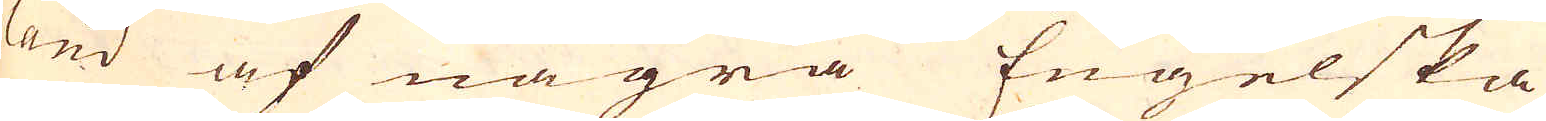land af några Engelska
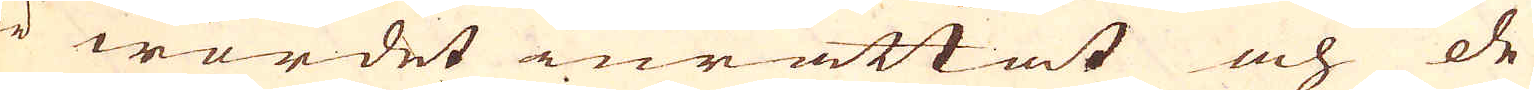är wordet inrättat och de
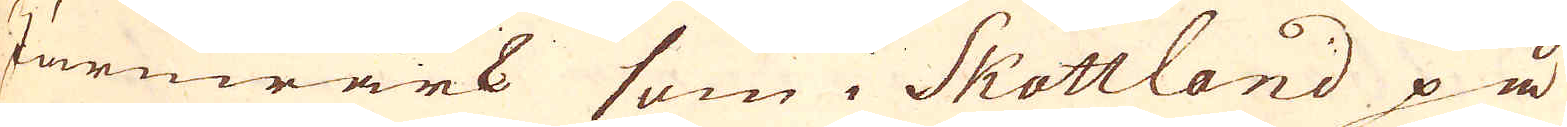Järnwärk som i Skottland på
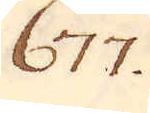677.
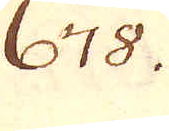678.
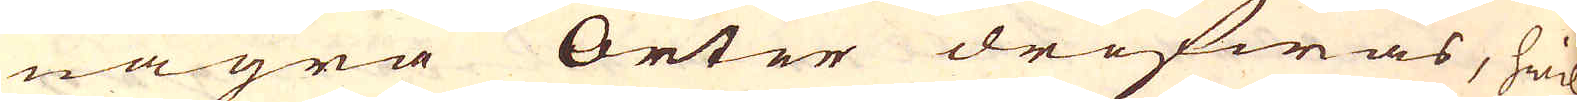några Orter drifwas, hwil-
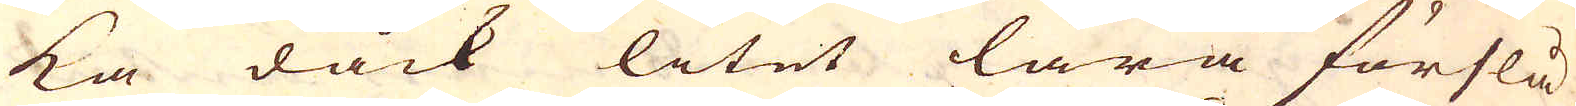ka dåck litet lära förslå,
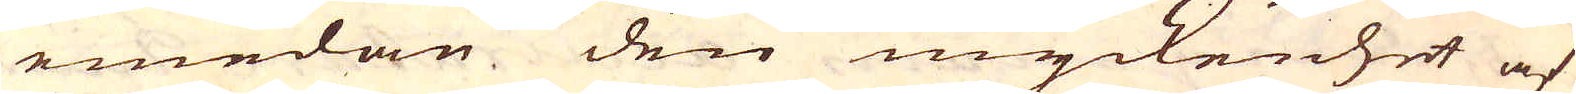emedan den myckenhet af
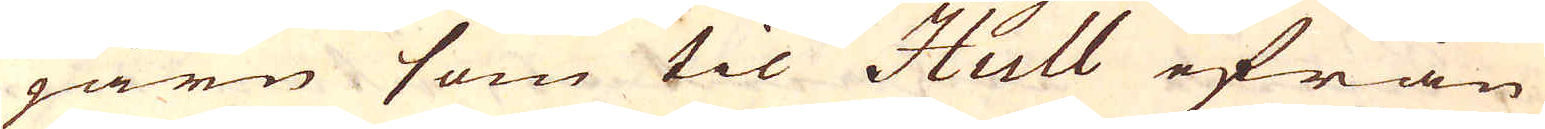järn som til Hull ifrån
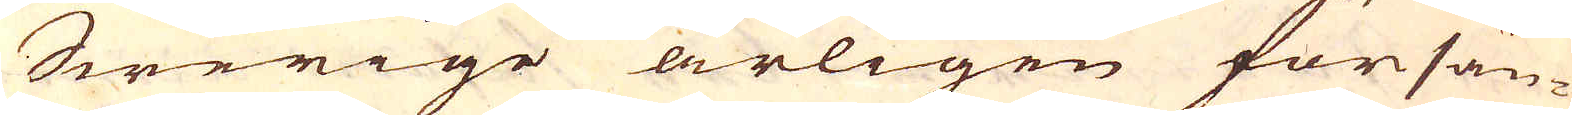Swerige årligen försän-
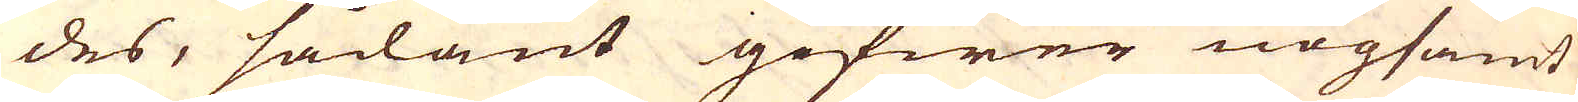des, sådant gifwer nogsamt
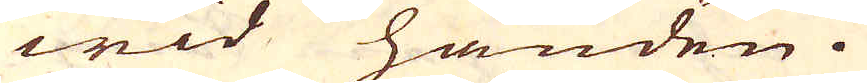wid handen.
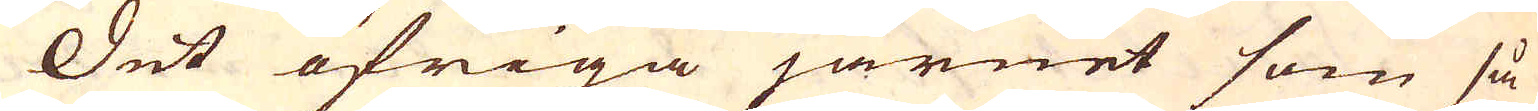Det öfriga järnet som så
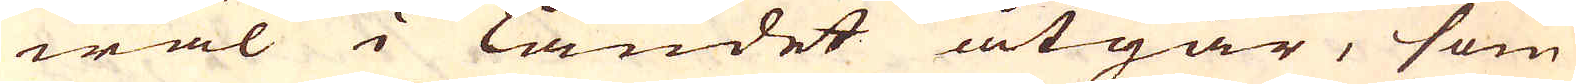wäl i landet åtgår, som
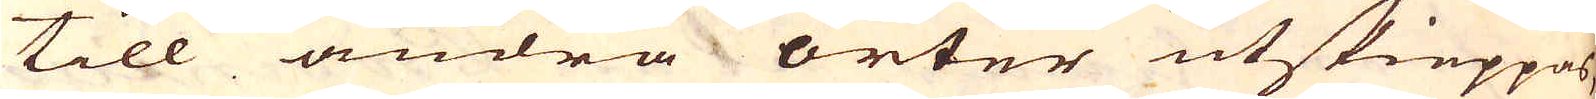till andra orter utskieppas,
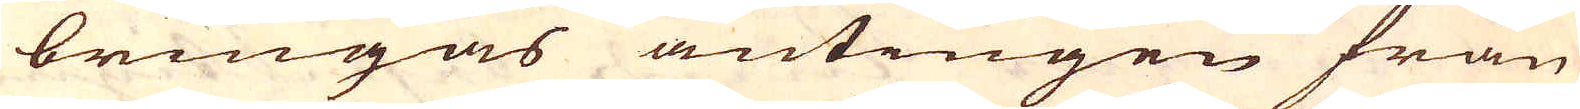bringas antingen från
